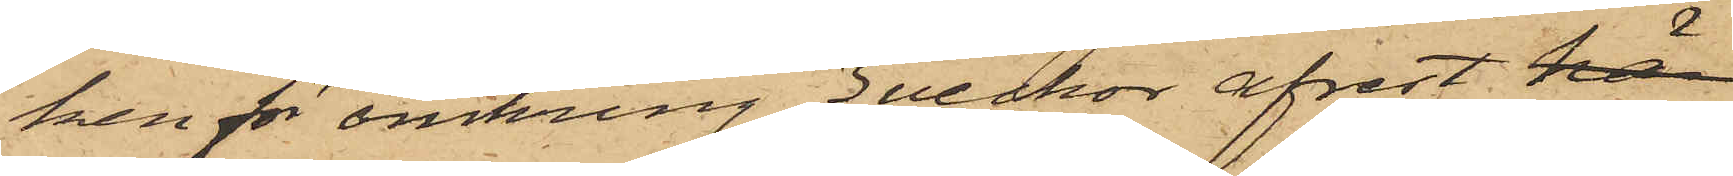ken för omkring 3 veckor afrest här
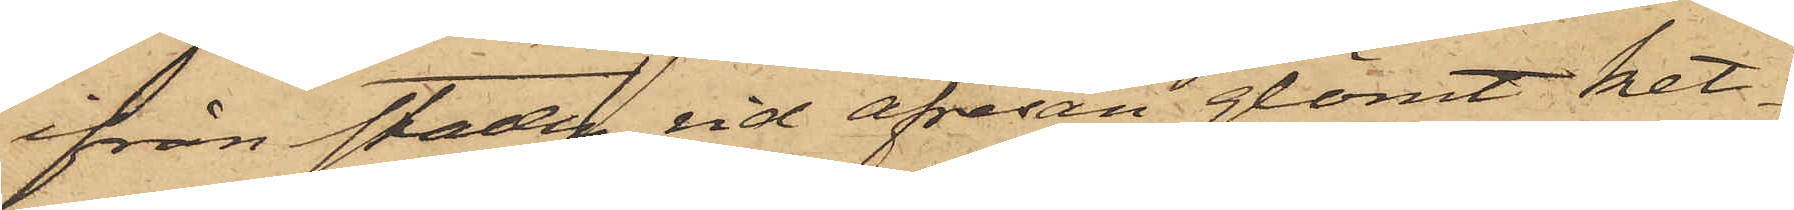ifrån staden, vid afresan glömt ket¬
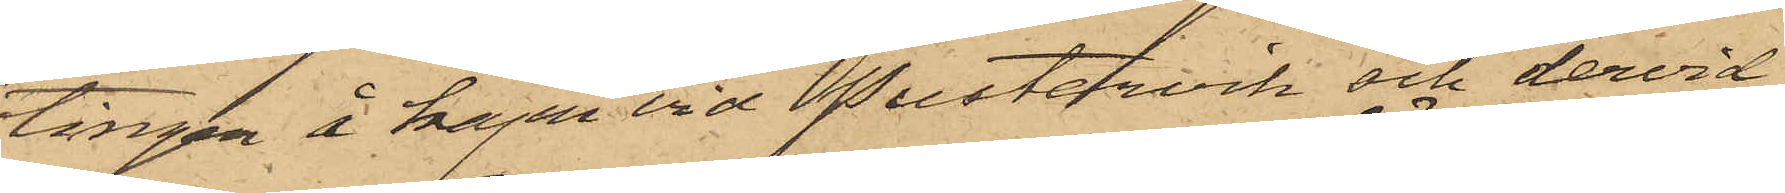tingen å kajen vid Pustervik och dervid
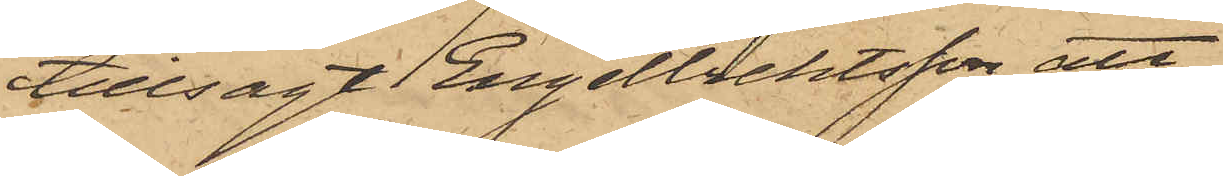tillsagt Engelbrektsson att
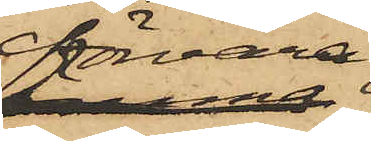förvara
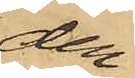den¬
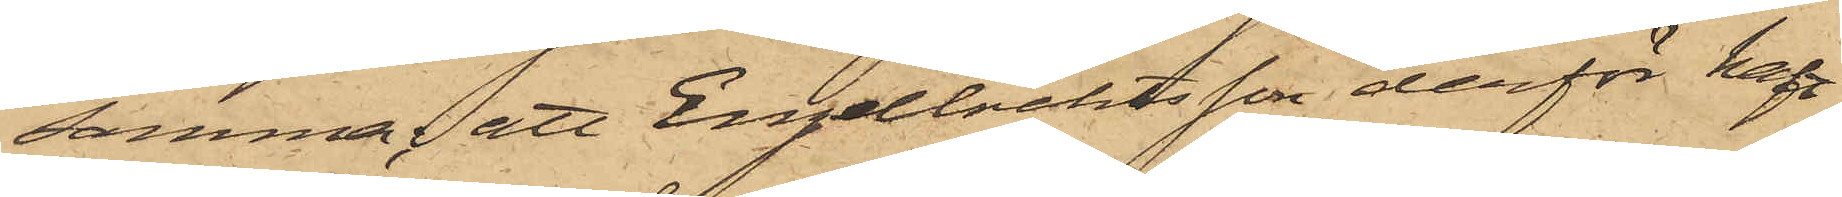samma; att Engelbrektsson derför haft
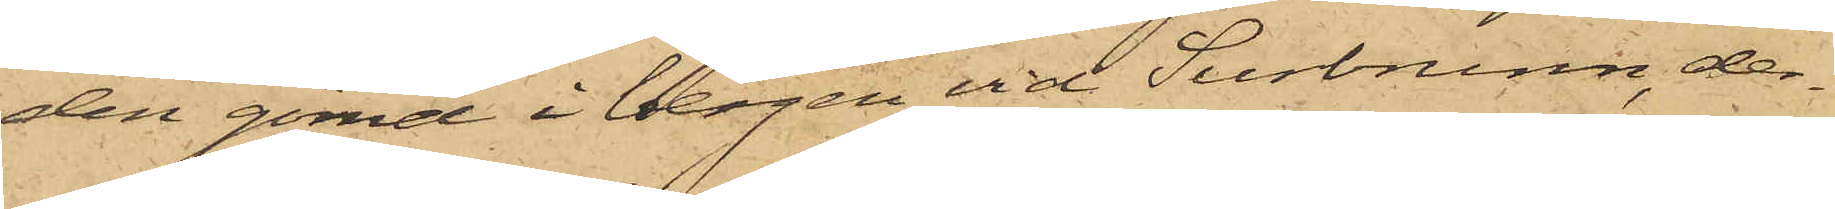den gömd i bergen vid Surbrunn, der¬
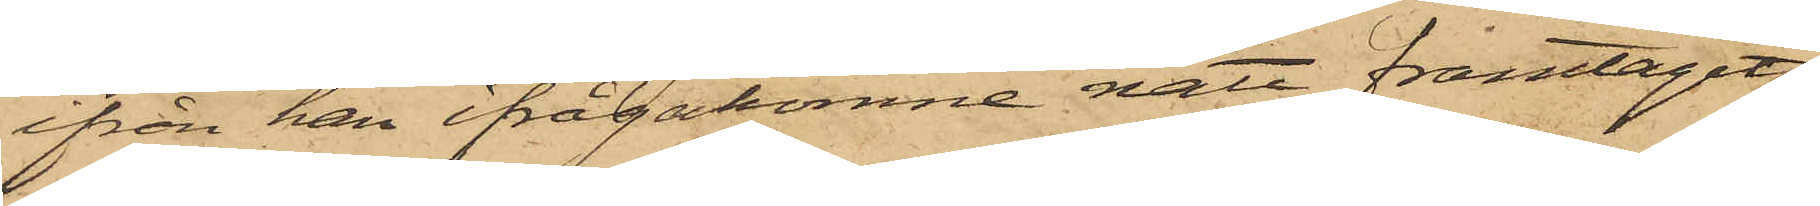ifrån han ifrågakomne natt framtagit
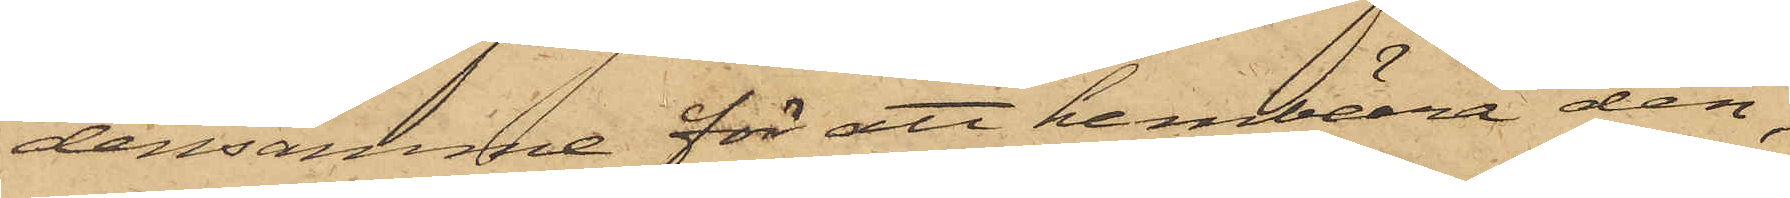densamma för att hembära den,
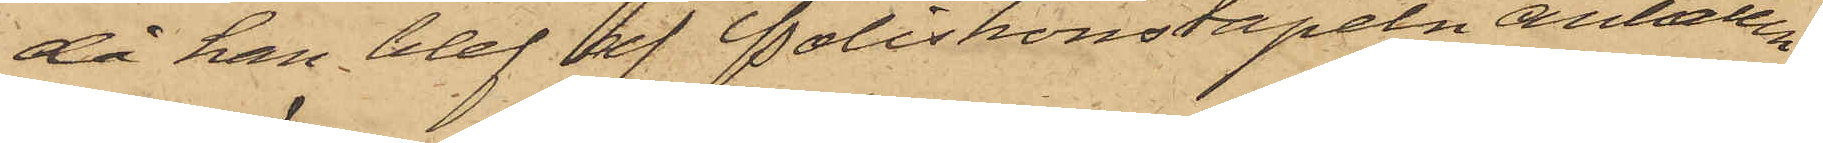då han blef af Poliskonstapeln anhållen;
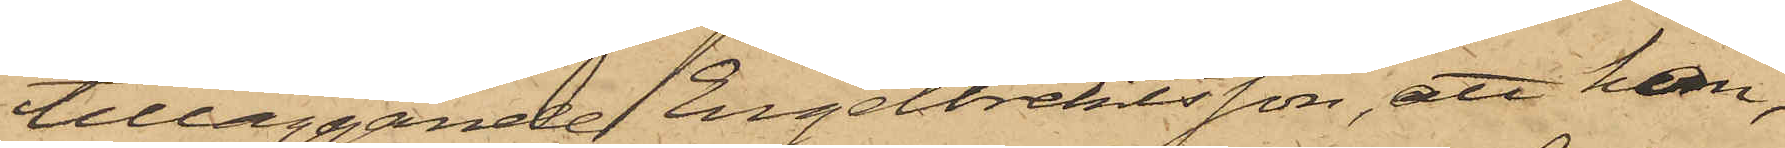tilläggande Engelbrektsson, att han,
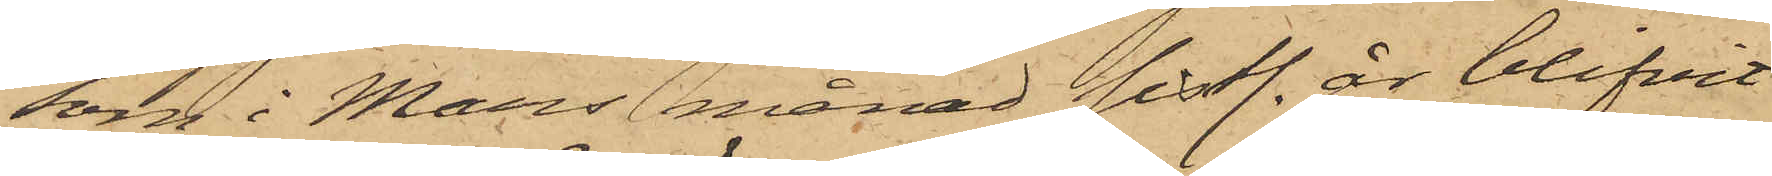som i Mars månad sistl. år blifvit
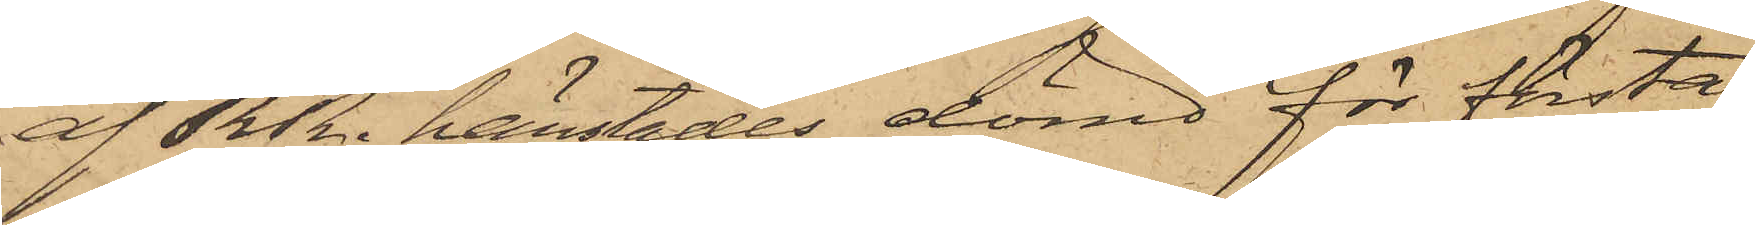af RRn härstädes dömd för första
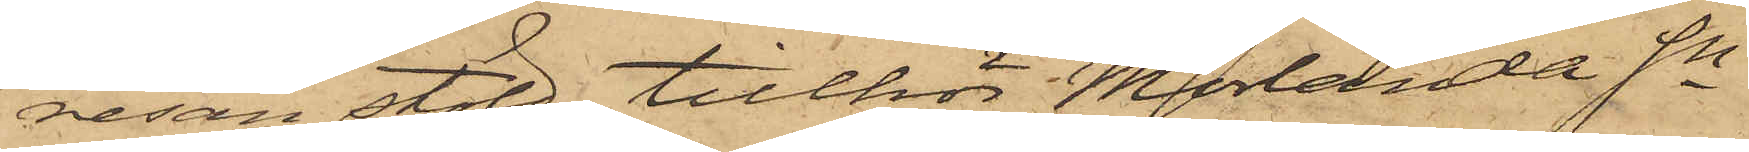resan stöld, tillhör Morlanda Sn.
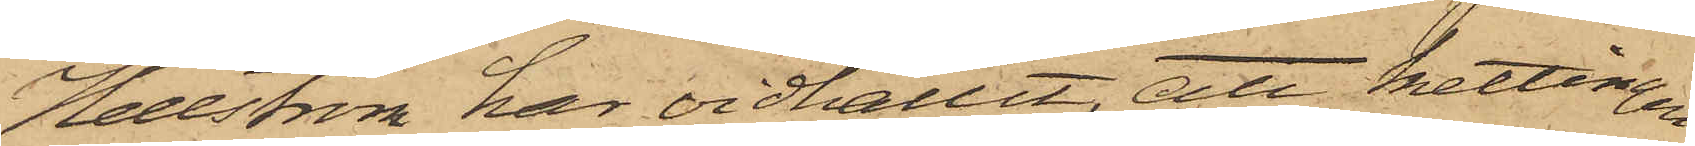Hellström har vidhållit, att kettingen
